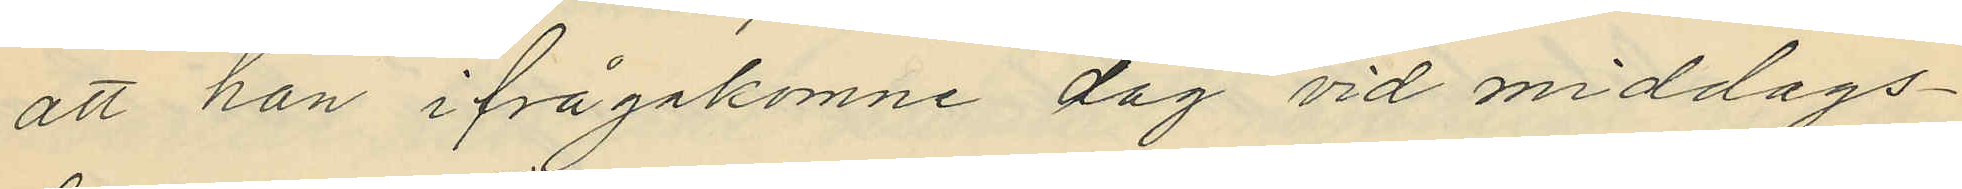att han ifrågakomne dag vid middags¬
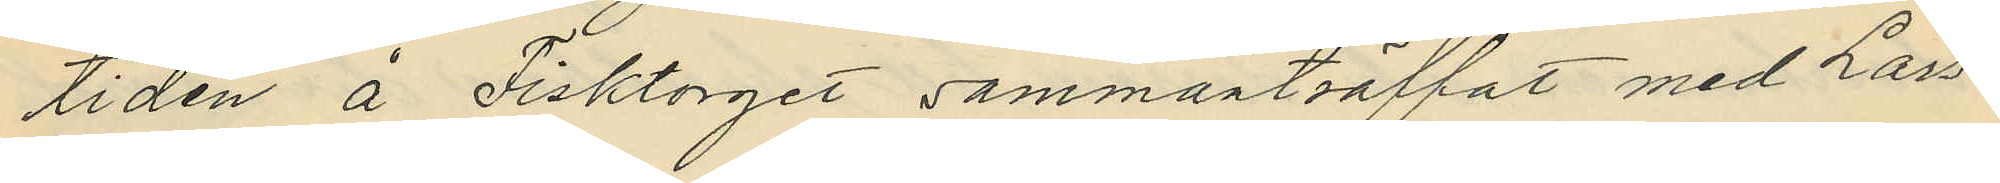tiden å Fisktorget sammanträffat med Lars¬
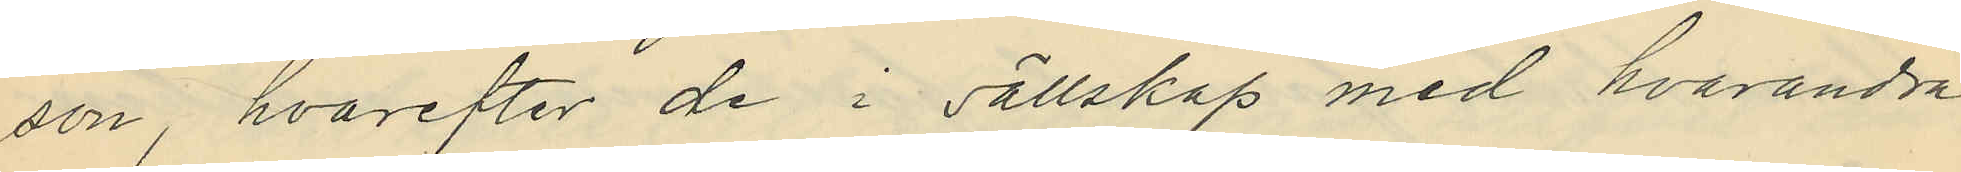son, hvarefter de i sällskap med hvarandra
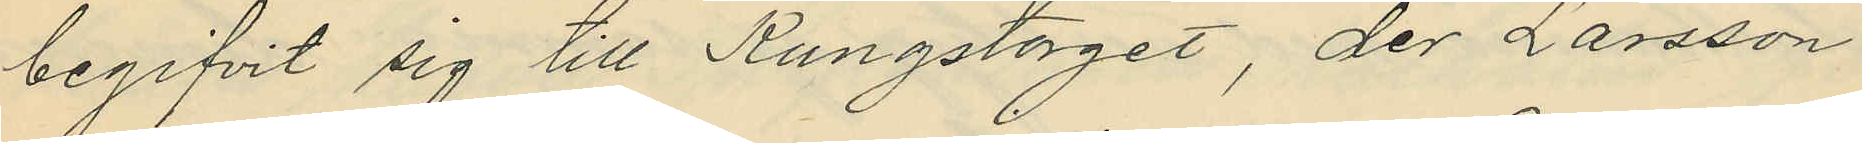begifvit sig till Kungstorget, der Larsson
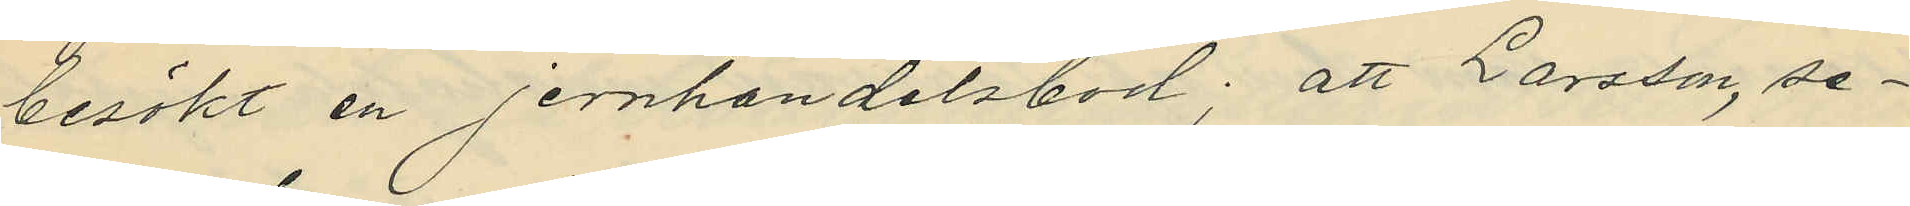besökt en jernhandelsbod; att Larsson, se¬
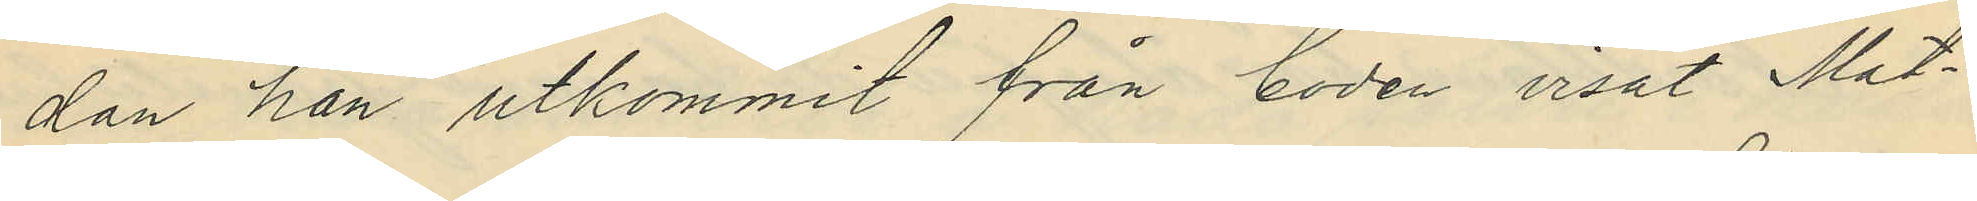dan han utkommit från boden visat Mat¬
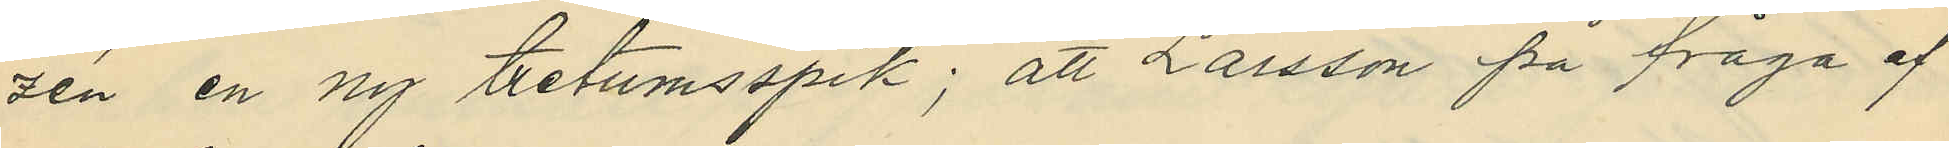zén en ny tretumsspik; att Larsson på fråga af
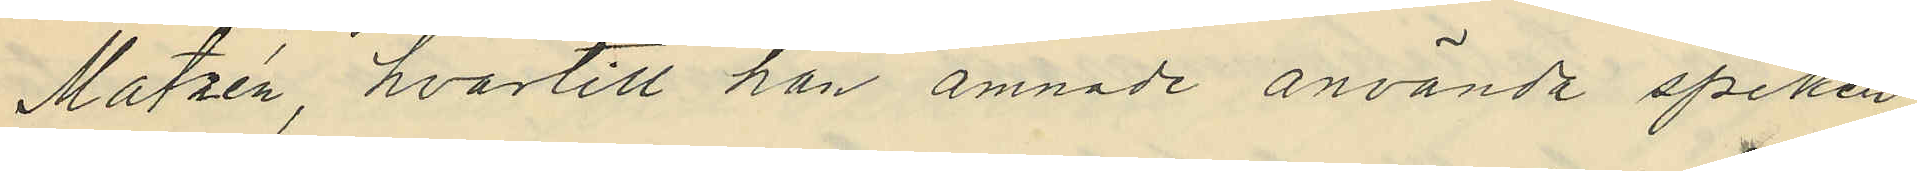Matzén, hvartill han ämnade använda spiken
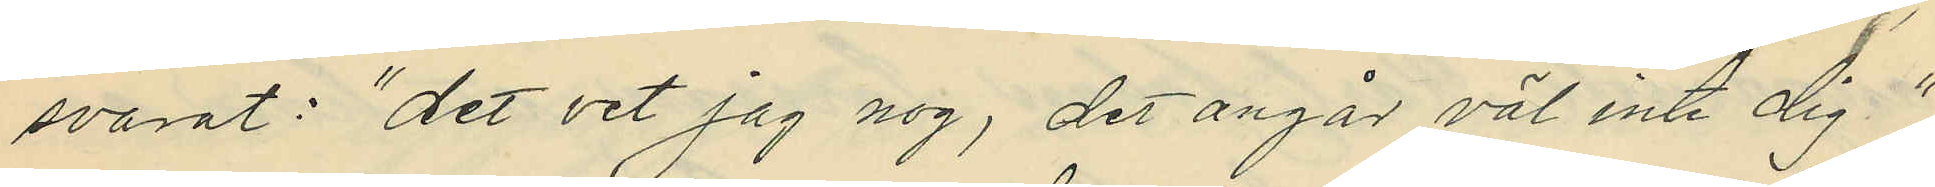svarat: "det vet jag nog, det ångår väl inte dig",
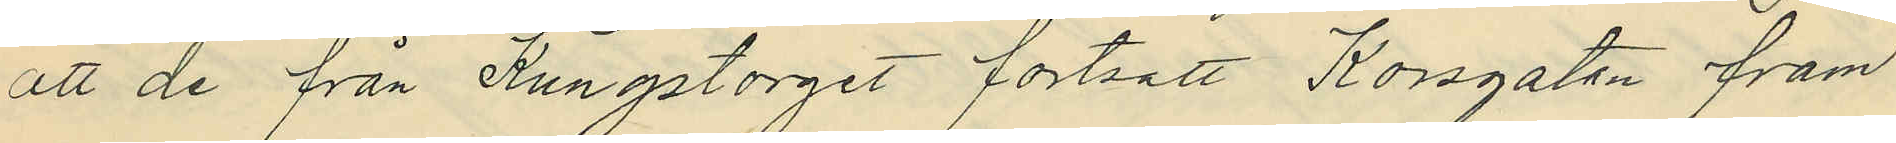att de från Kungstorget fortsatt Korsgatan fram
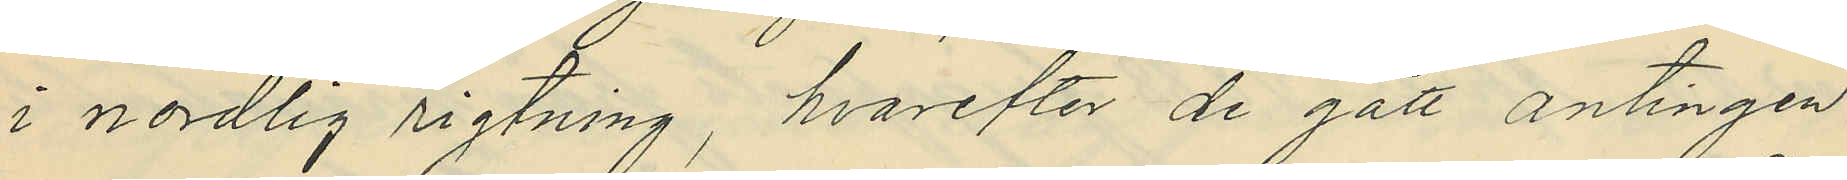i nordlig rigtning, hvarefter de gått antingen
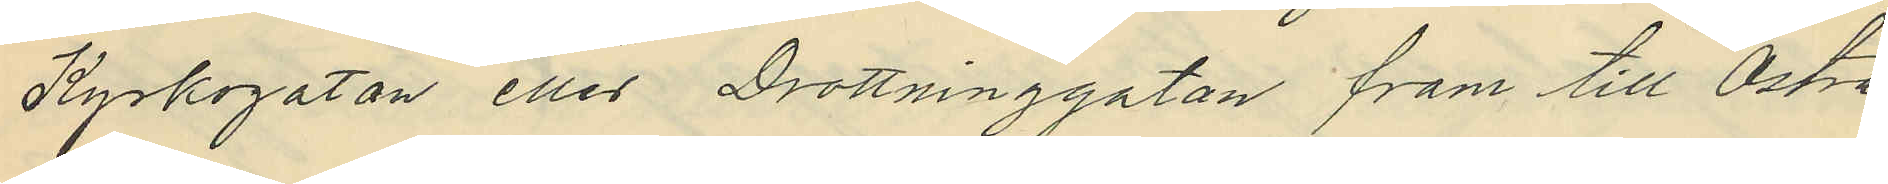Kyrkogatan eller Drottninggatan fram till Östra
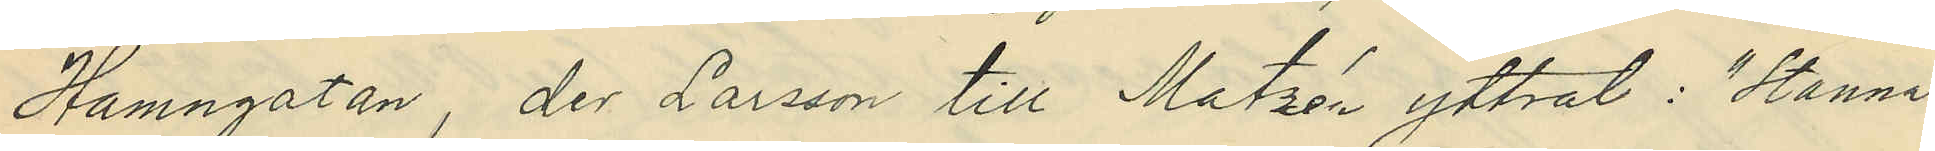Hamngatan, der Larsson till Matzén yttrat: "Stanna
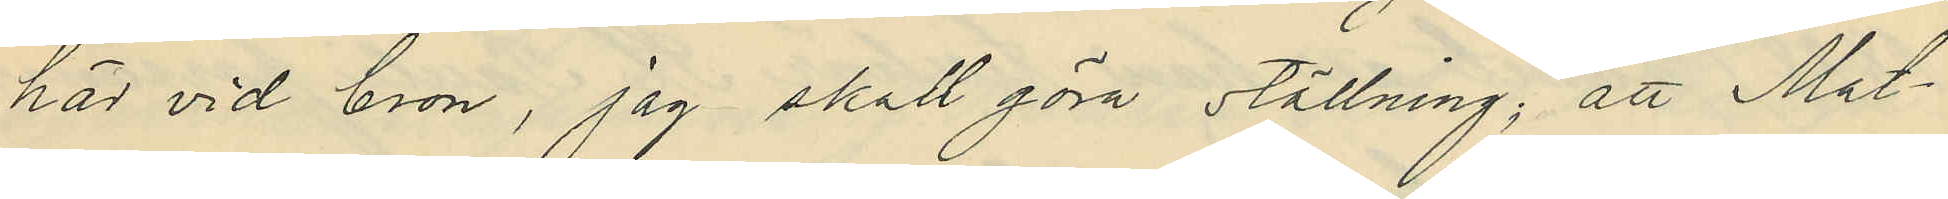här vid bron, jag skall göra ställning;" att Mat¬
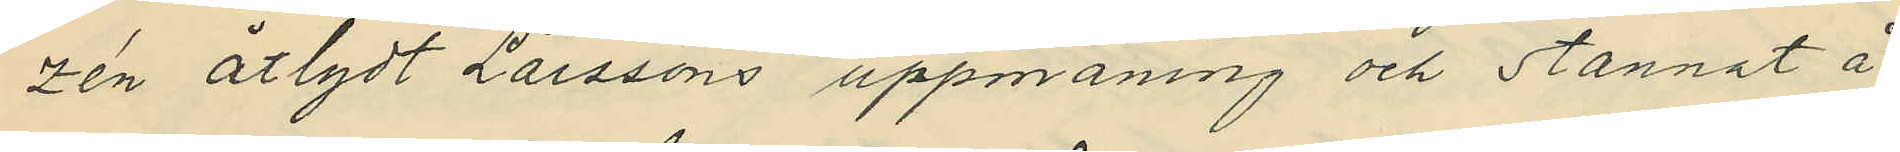zén åtlydt Larssons uppmaning och stannat å
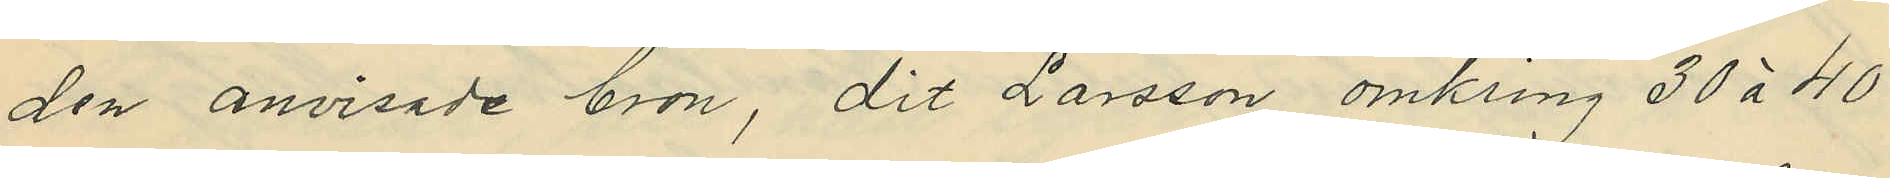den anvisade bron, dit Larsson omkring 30 à 40
